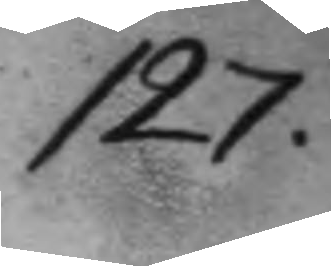127.
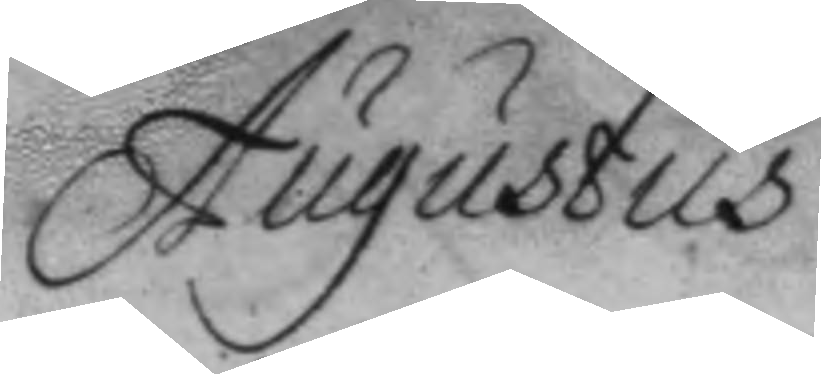Augustus
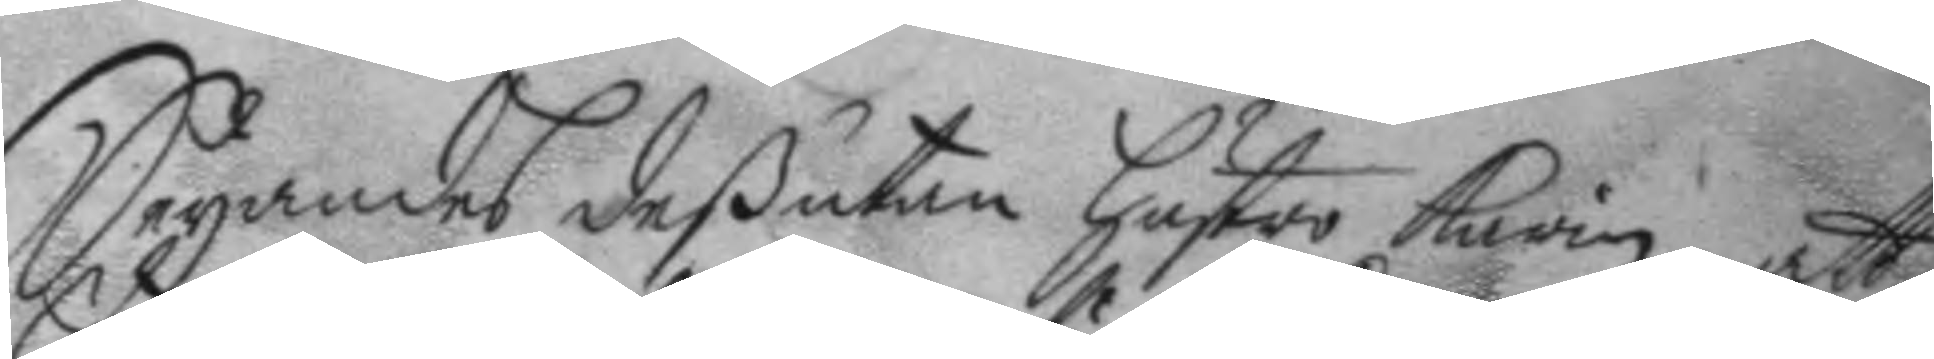Seyandes deßutan hustro Karin att
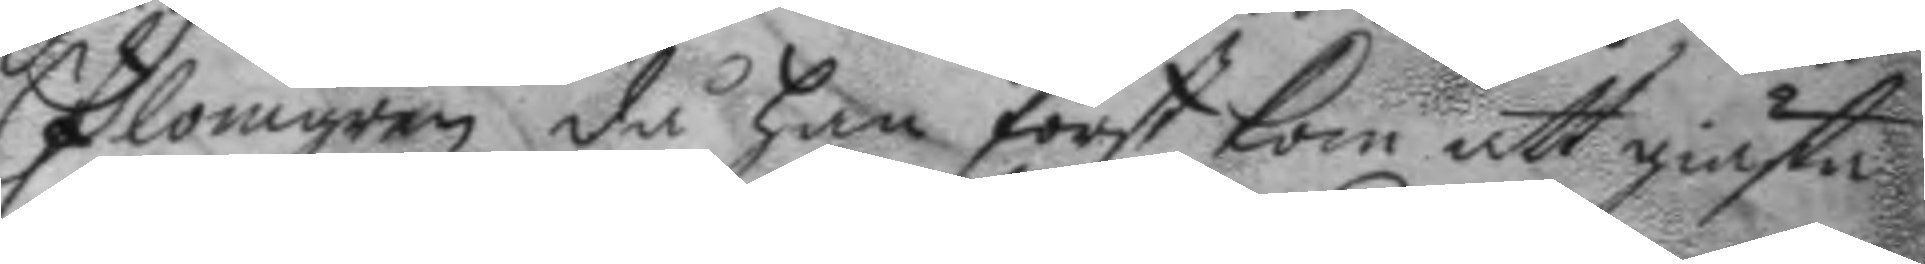Plomgren då han först kom att giästa
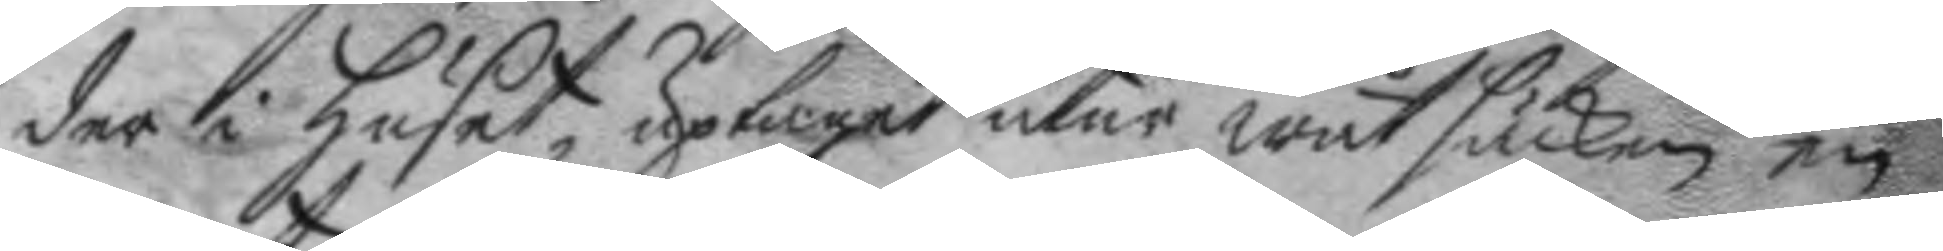der i huset, uptaget utur wåt säcken en
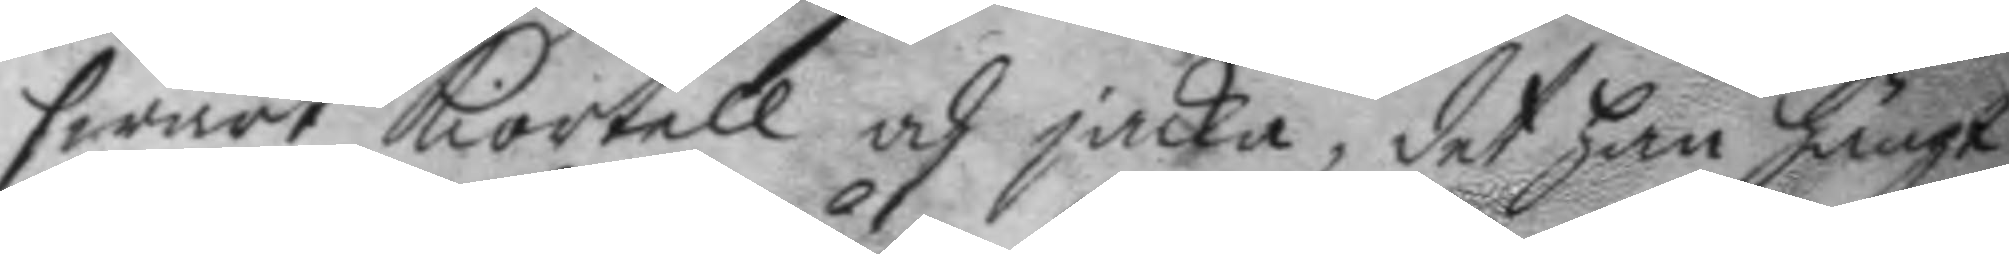swart kiortell och jacka, det han hängt
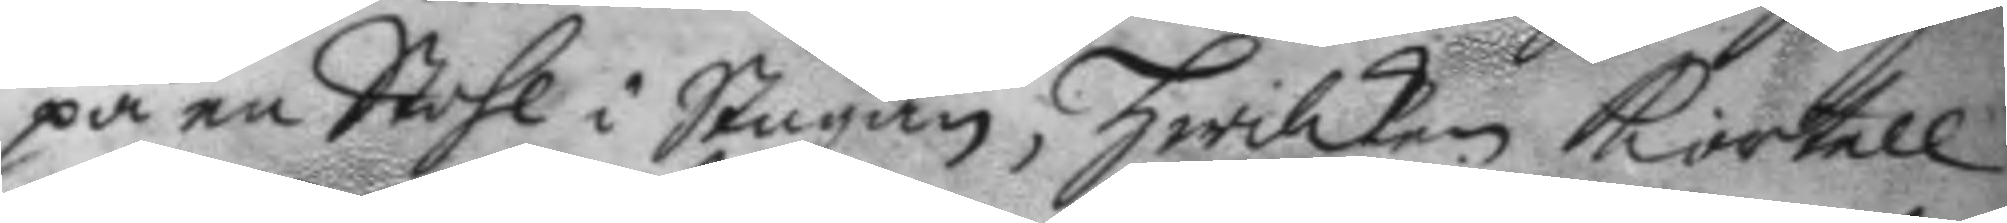på en Stohl i Stugan, hwilken kiortell
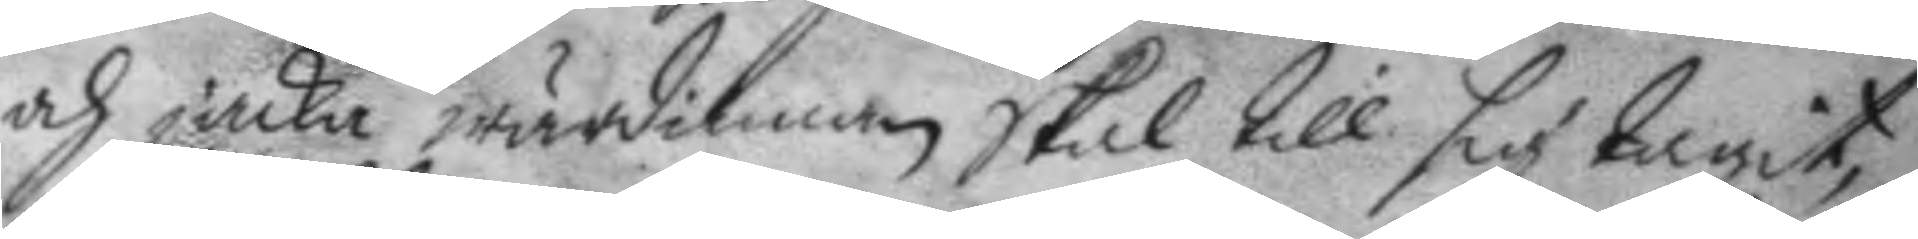och jacka wärdinnan skal till sig tagit
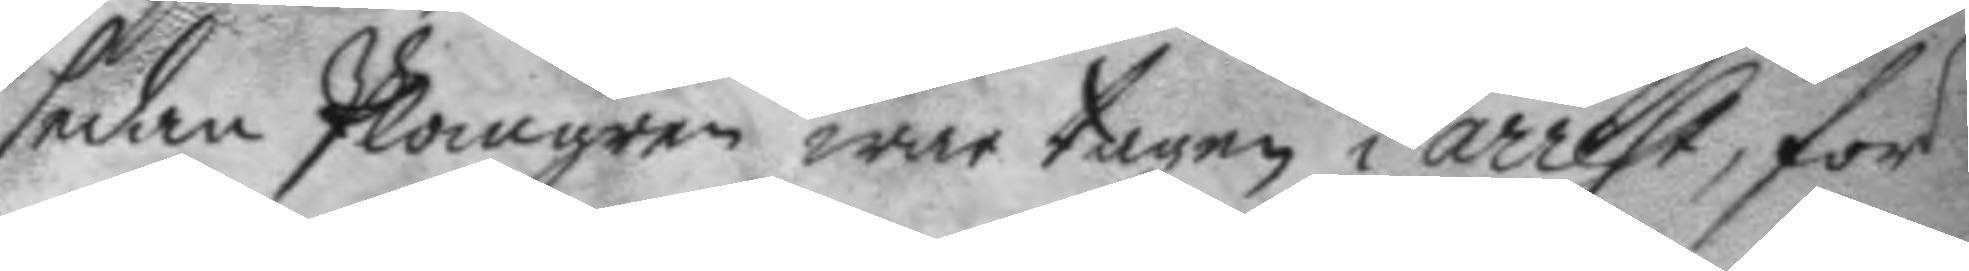sedan Plomgren war tagen i arrest, för
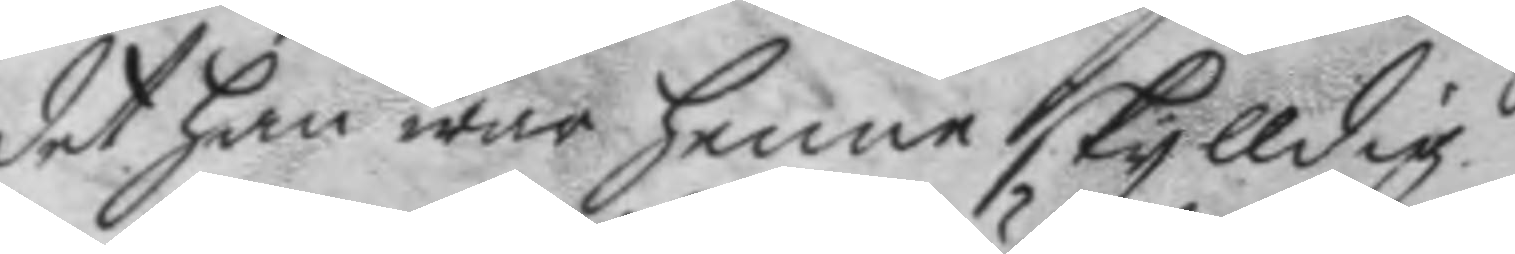det han war henne skylldig.
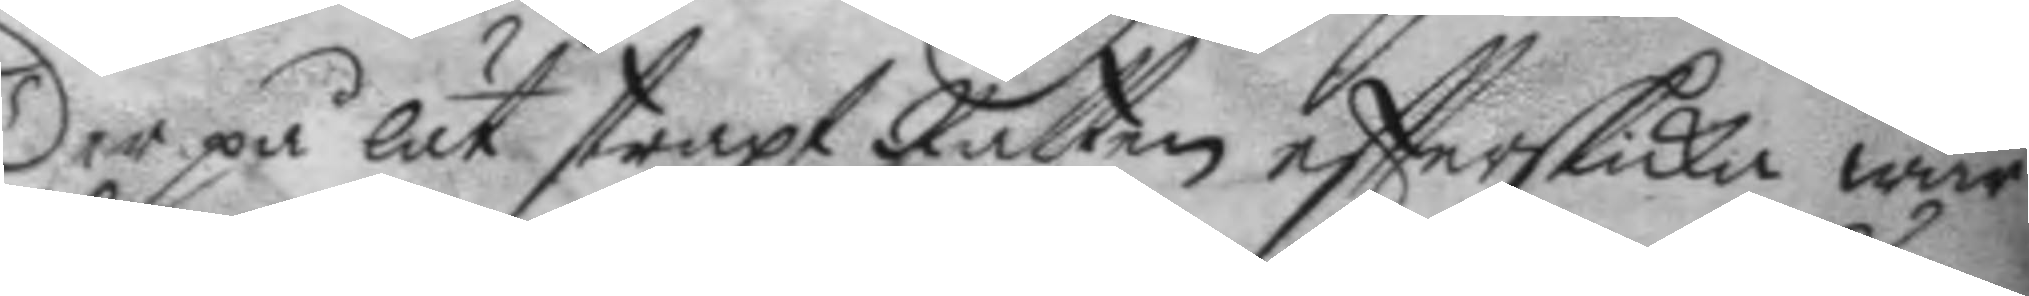Der på lät straxt Rätten eftterskicka wär¬
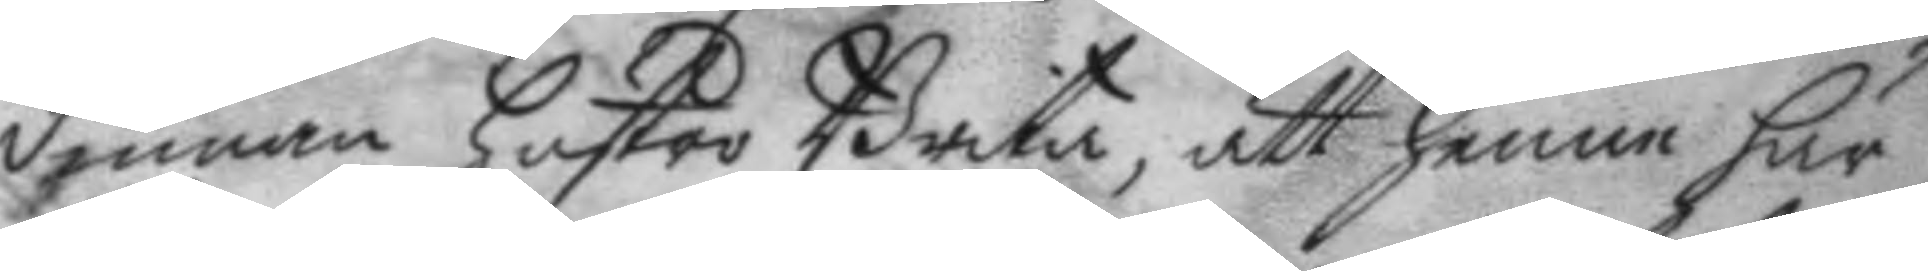dinnan hustro Brita, att henne här
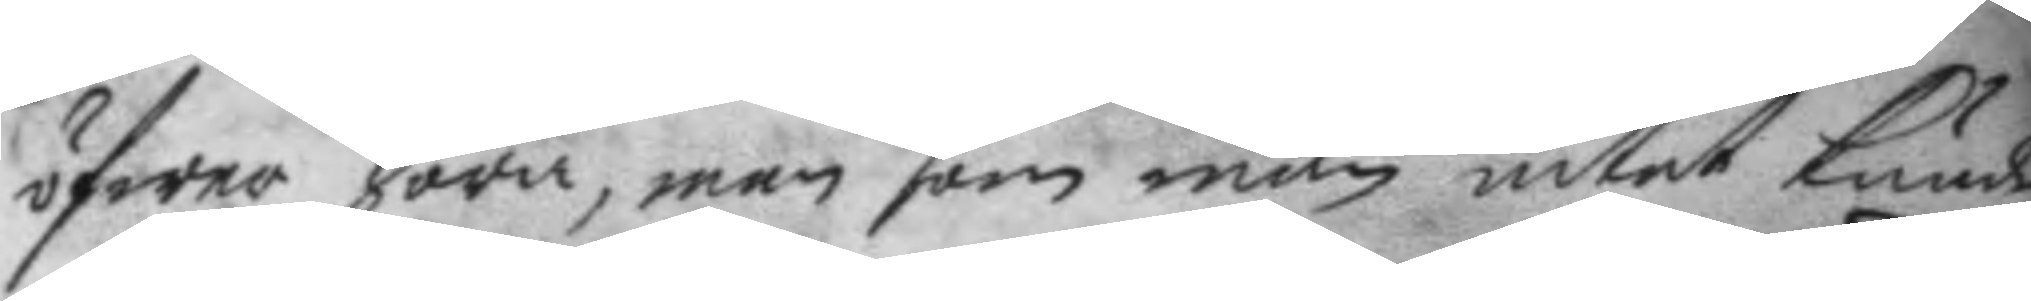öfwer höra, men som man intet kunde
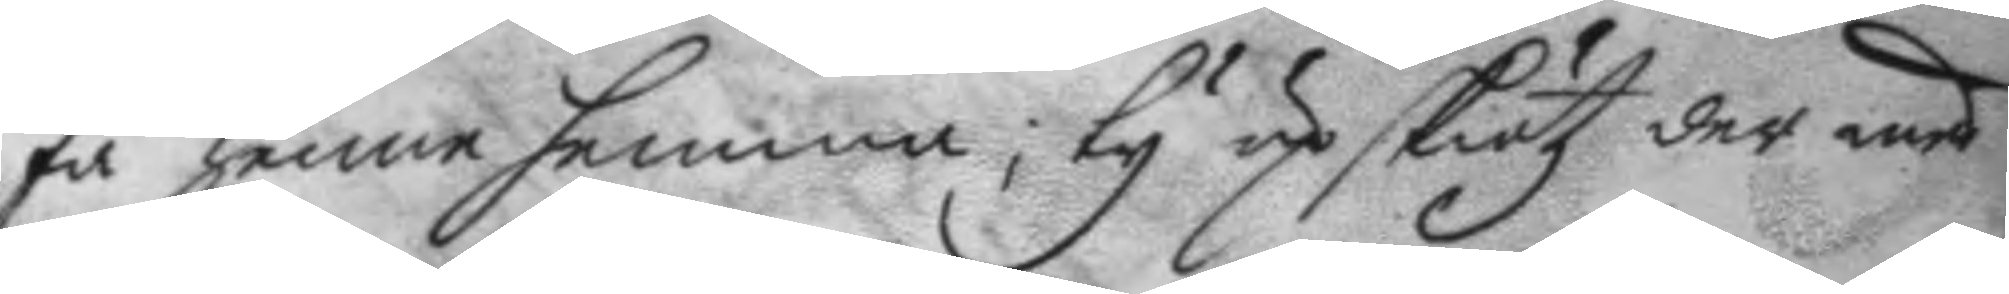få henne hemma; ty up skiötz der med
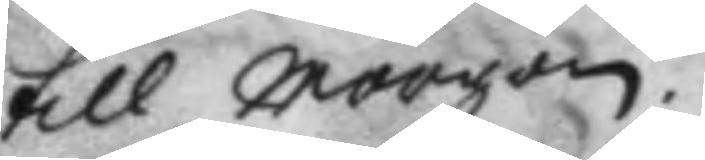till morgon.
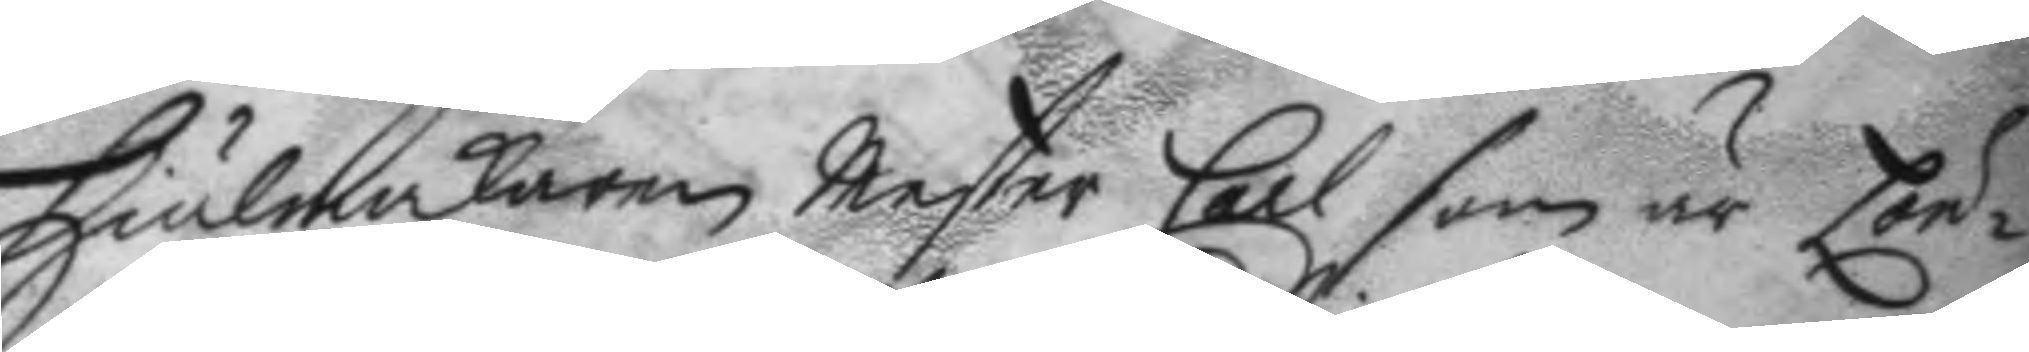Hiulmackaren Mester Carl som är Lön¬
